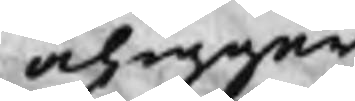åligger
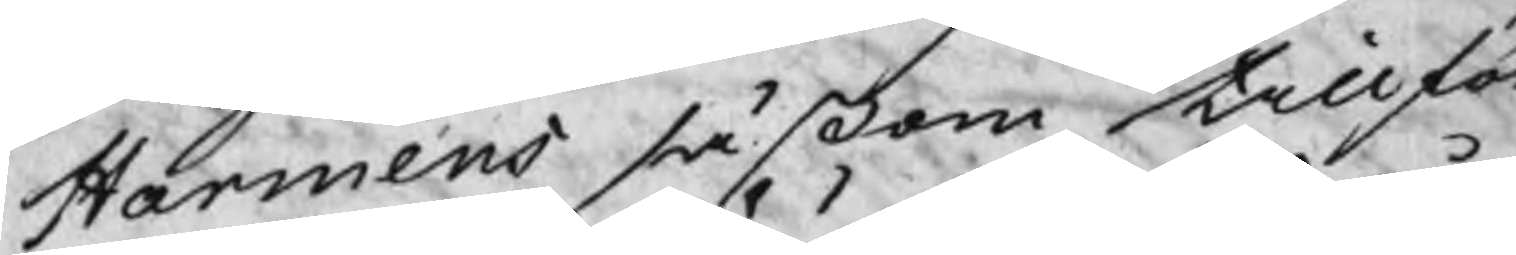Harmens såßom tillför
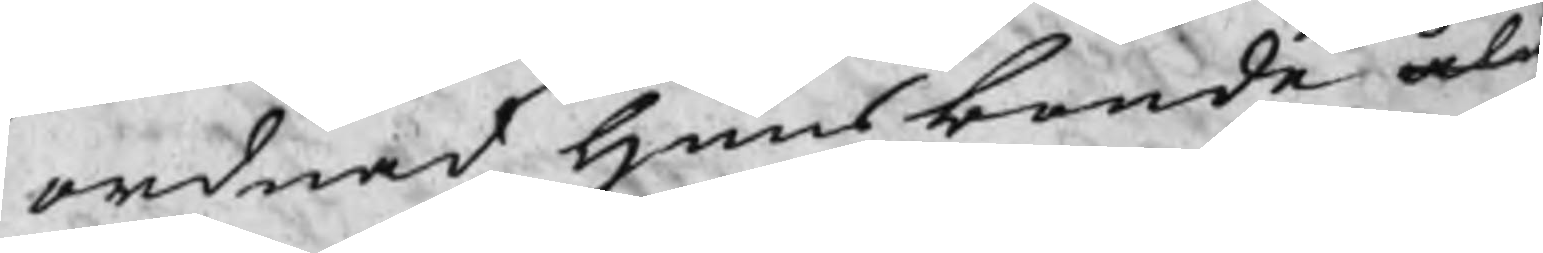ordnad huusbonde åli
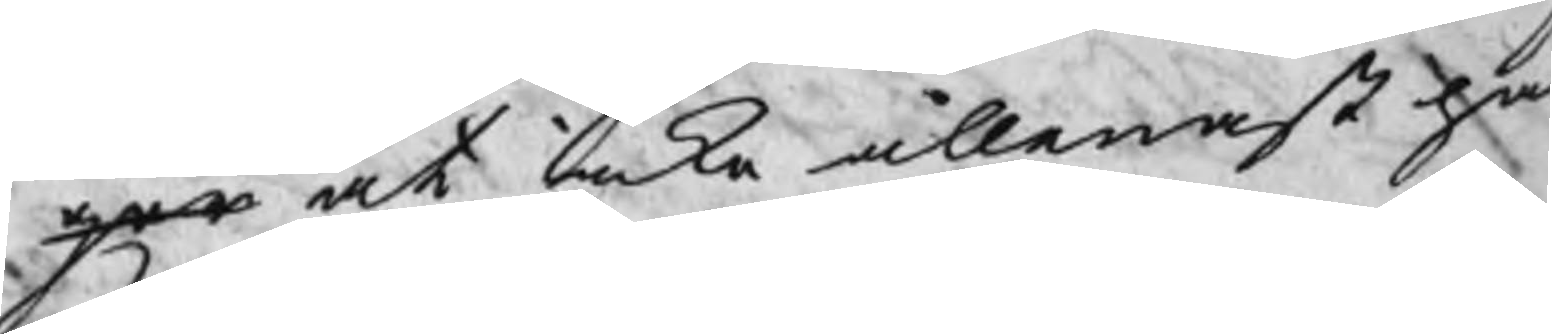ger at icke allenast här
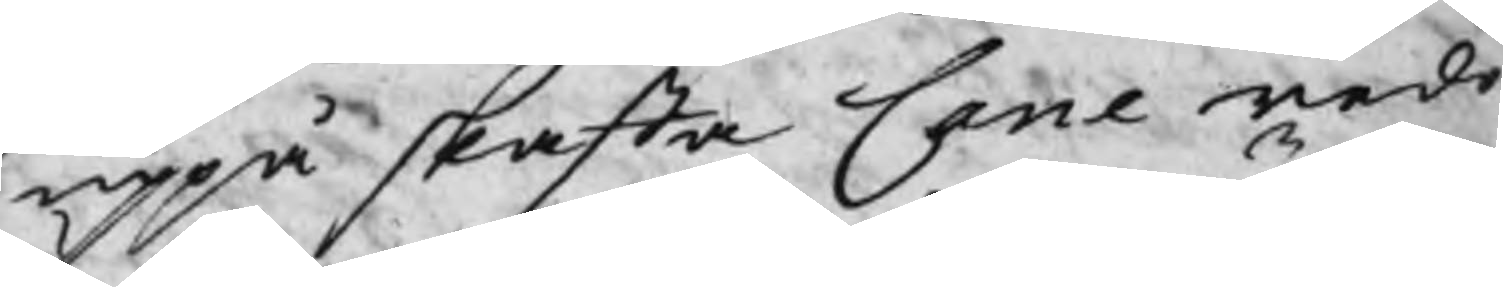uppå skaffa Cane redo
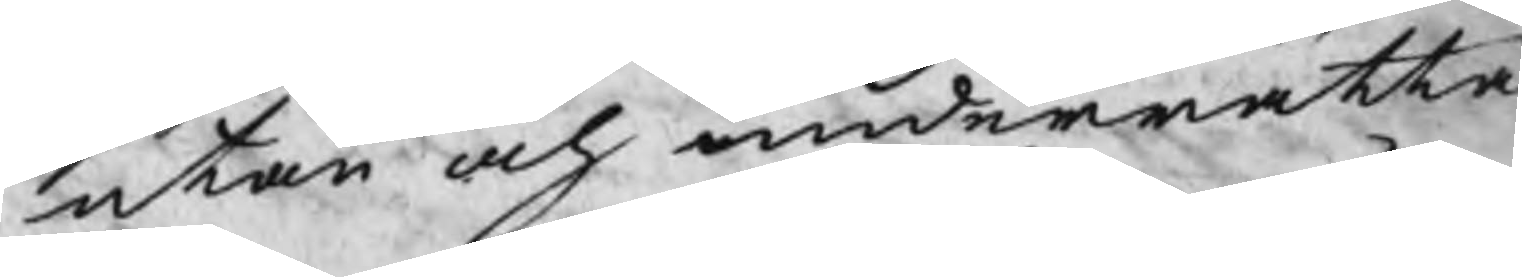utan och underrätta
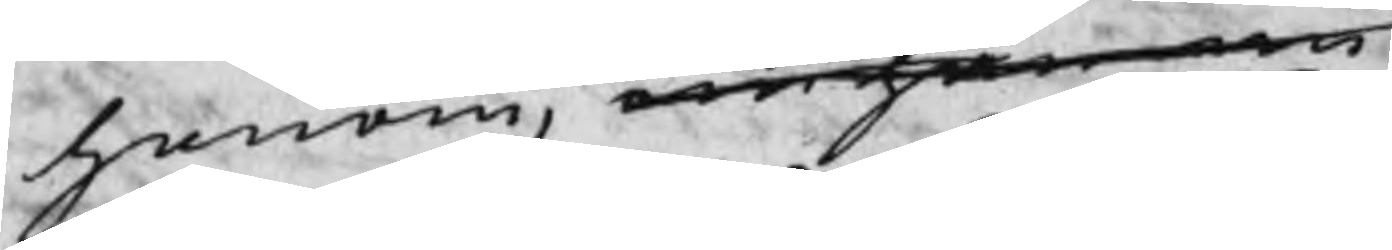honom, om han nu
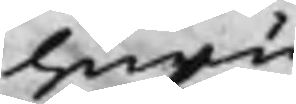huru
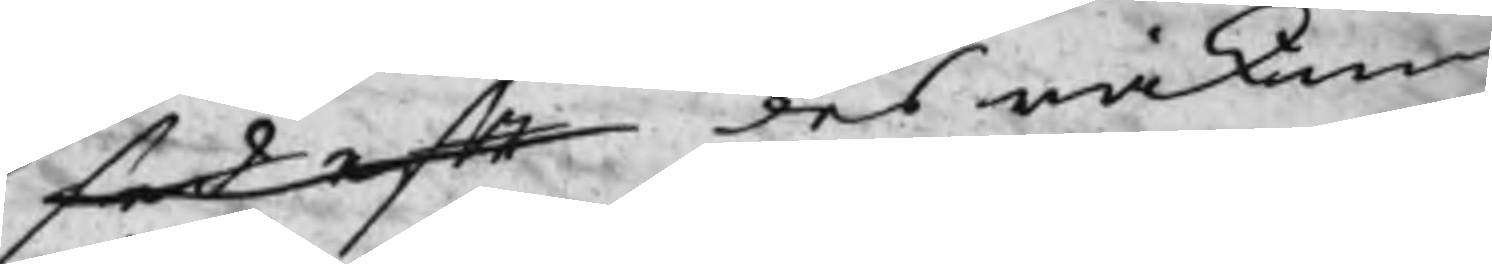sed eft des räkning
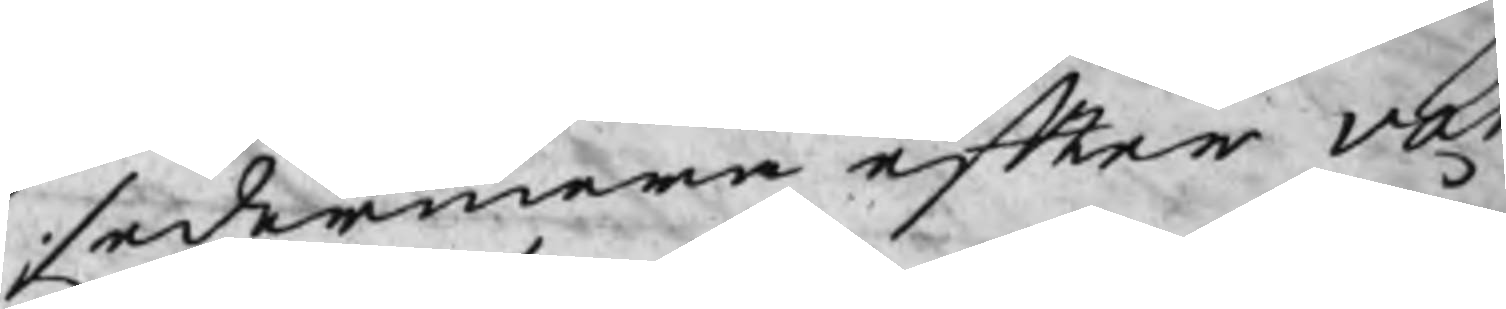sedermera efter var
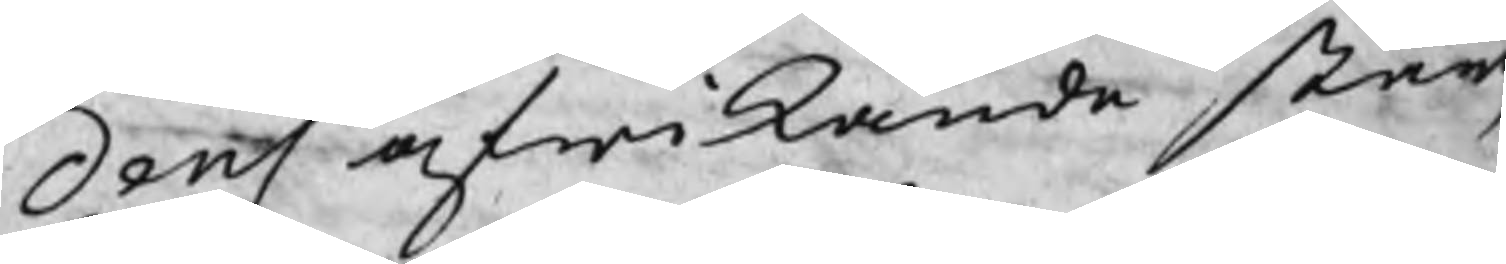dens afwikande står,
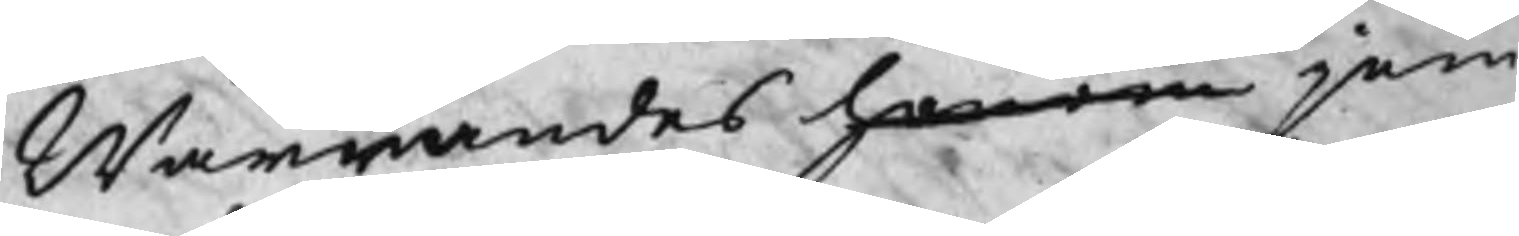Warandes honom jem
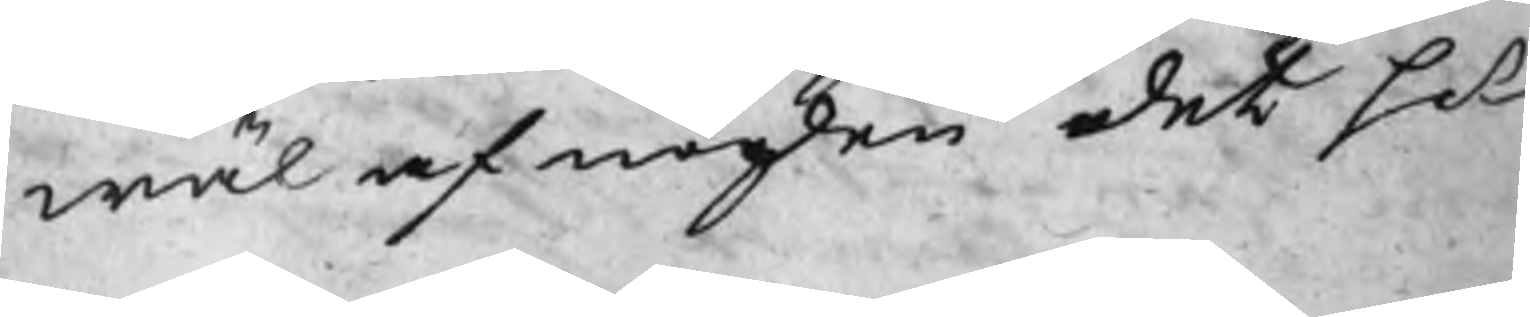wäl af nögden det Hr
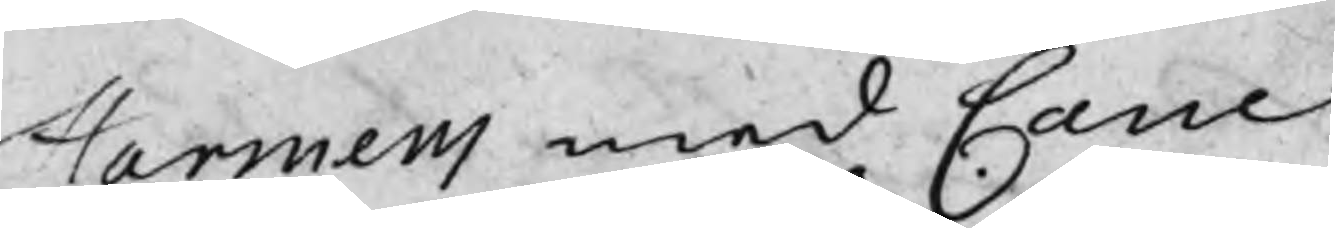Harmens med Cane
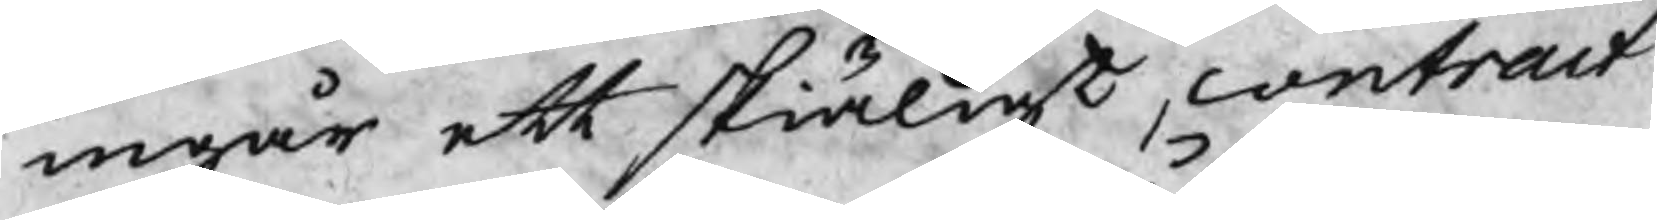ingår ett skiäligt contract
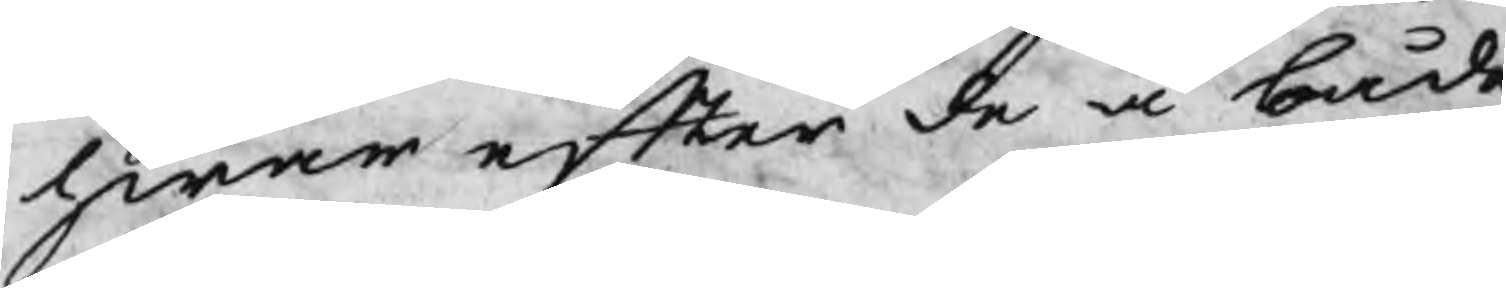hwar efter de å både
